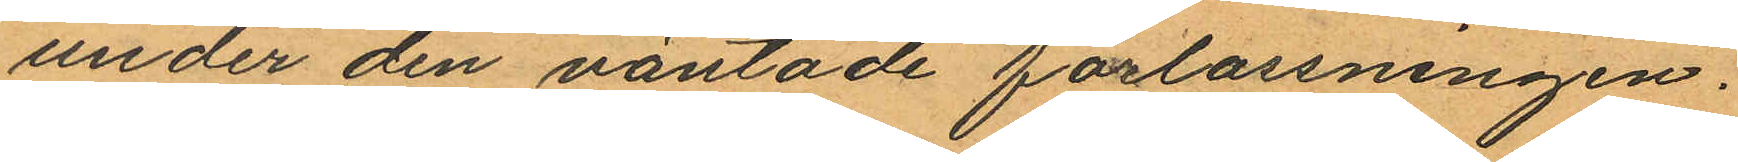under den väntade förlossningen.
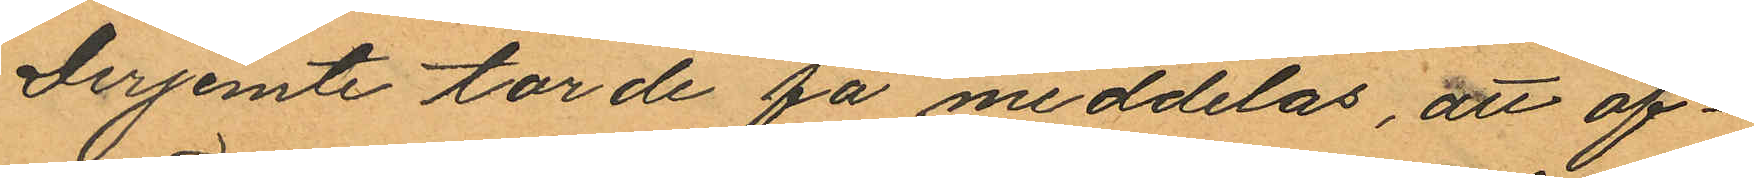Derjemte torde få meddelas, att of¬
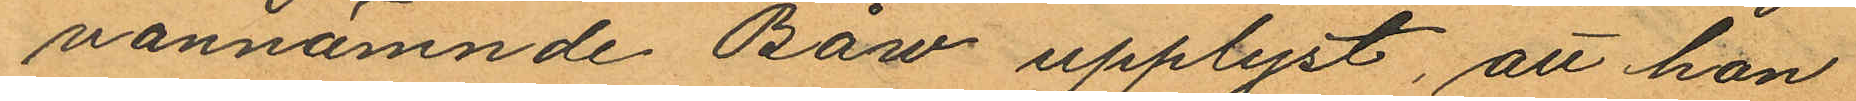vannämnde Båw upplyst, att hon
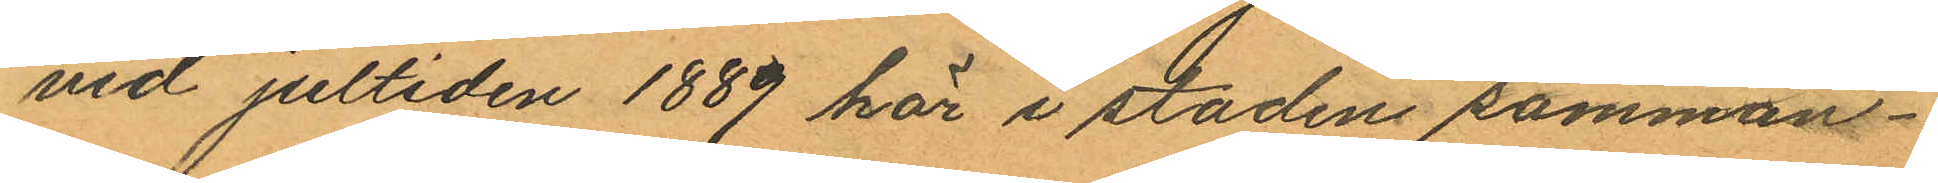vid jultiden 1889 här i staden samman¬
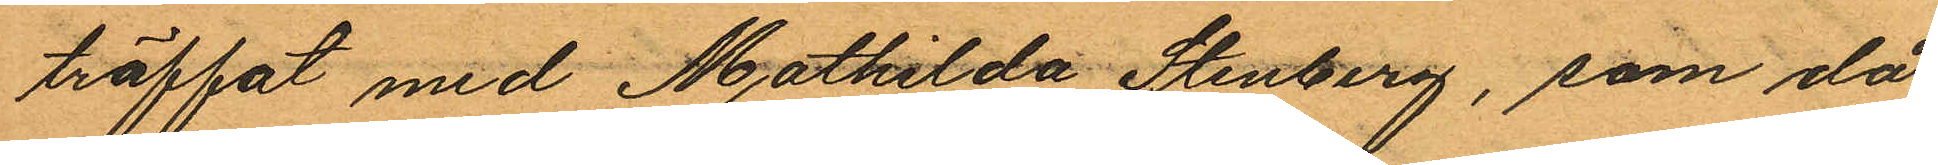träffat med Mathilda Stenberg, som då
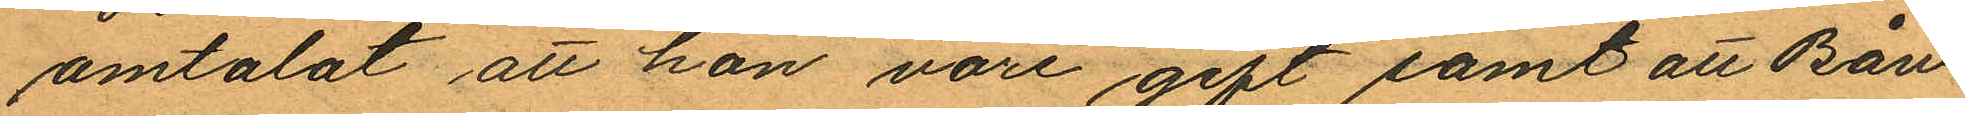omtalat att hon vore gift samt att Båw
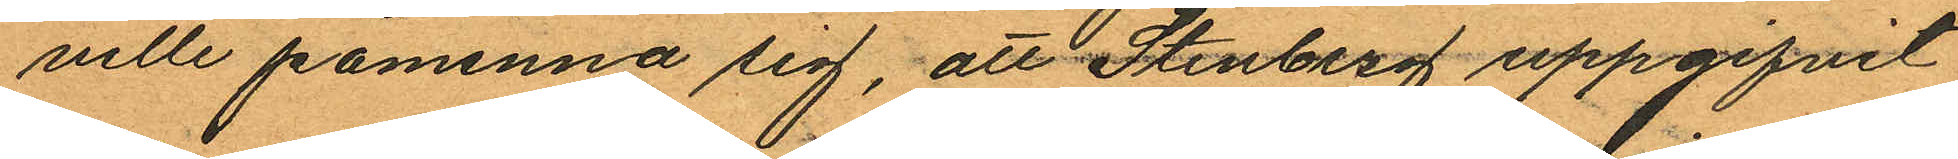ville påminna sig, att Stenberg uppgifvit
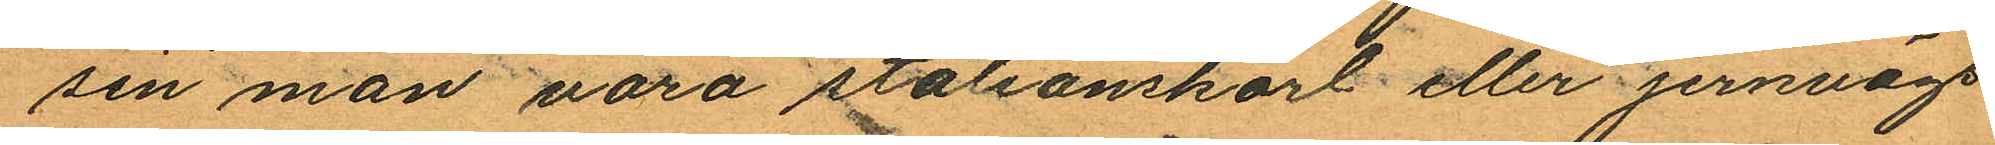sen man vara stationskarl eller jernvägs
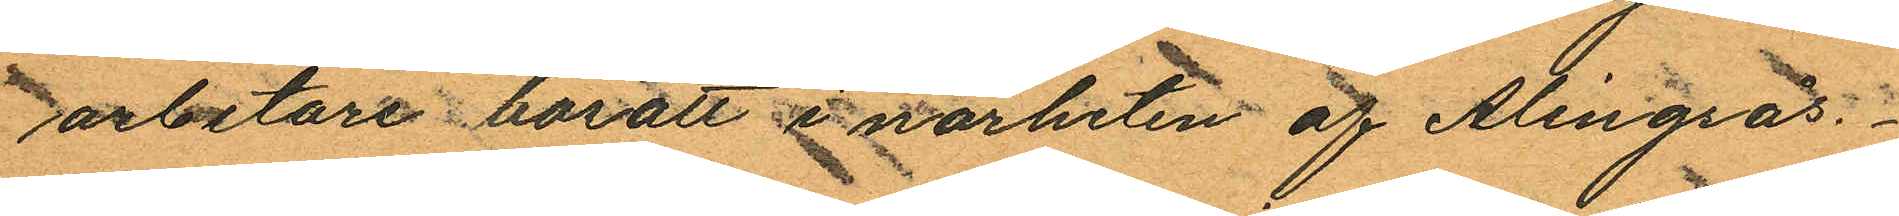arbetare bosatt i närheten af Alingsås.
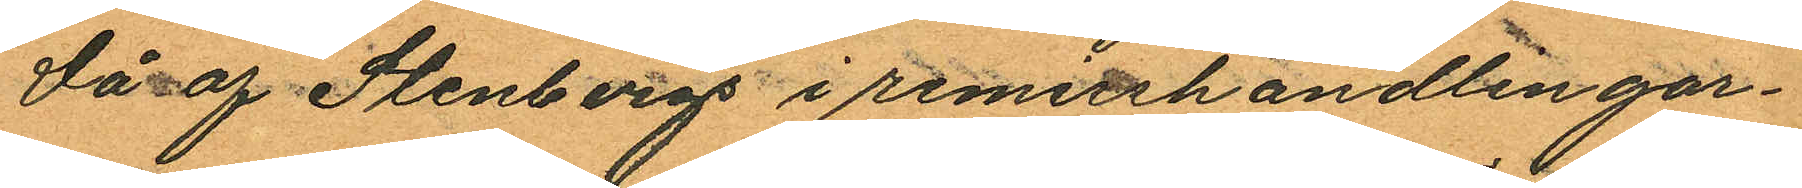Då af Stenbergs i remisshandlingar¬
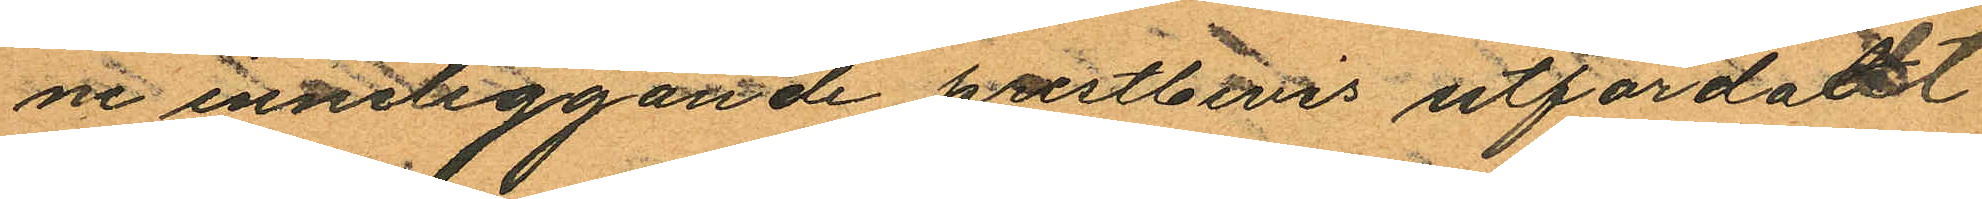ne inneliggande prestbevis utfärdadt
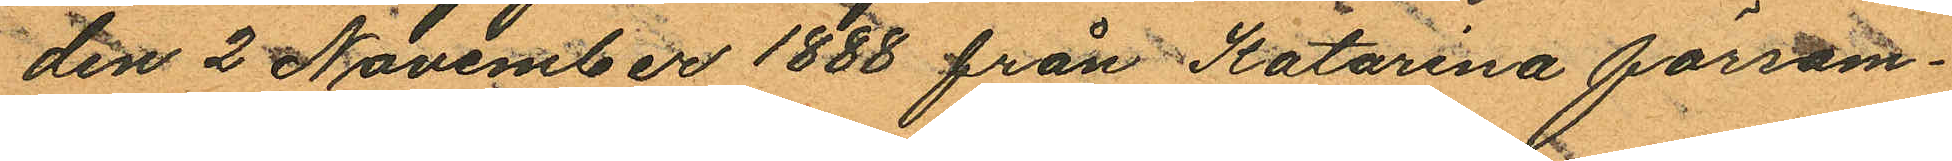den 2 November 1888 från Katarina försam¬
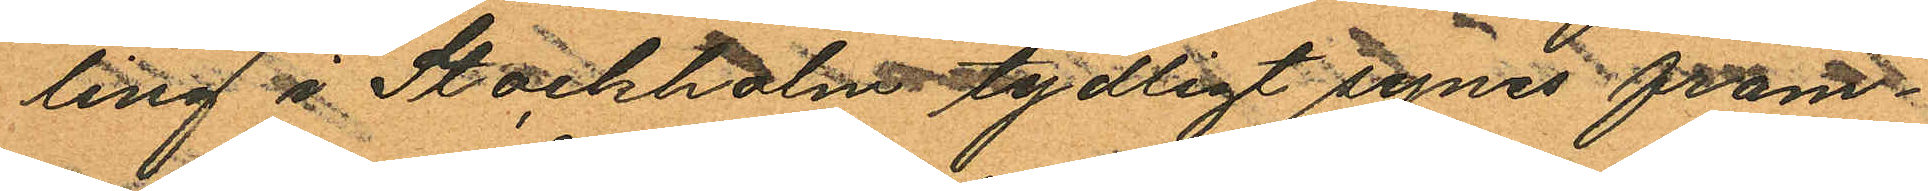ling i Stockhalm tydligt synes fram¬
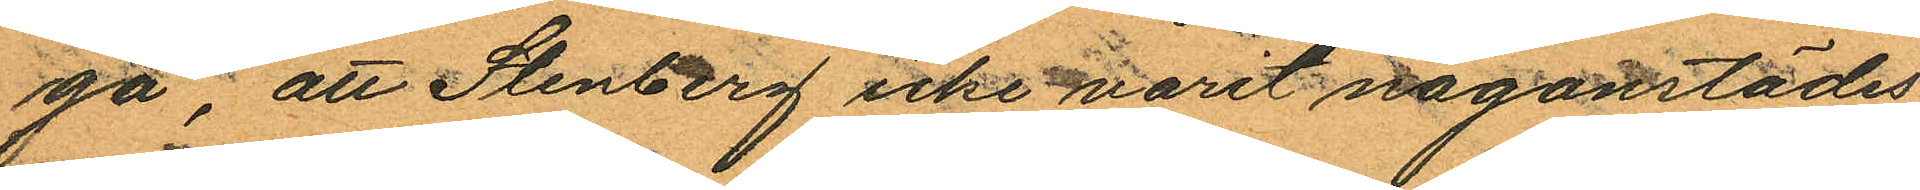gå, att Stenberg icke varit någonstädes
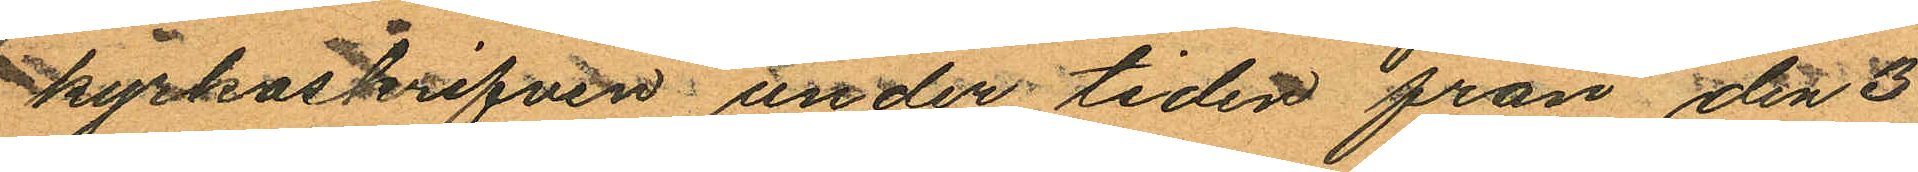kyrkoskrifven under tiden från den 3
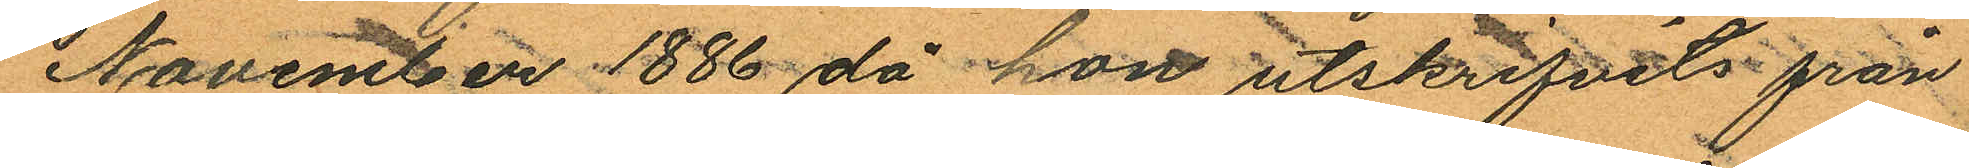November 1886 då hon utskrifvits från
